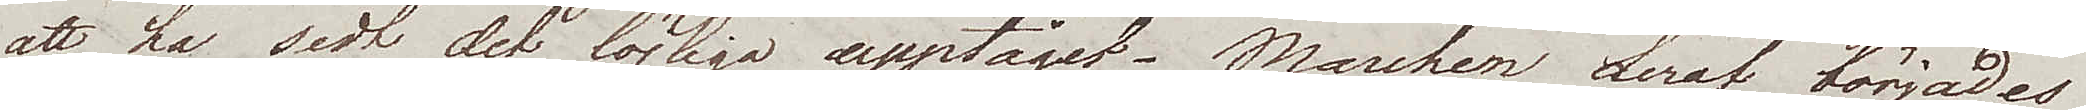att ha sedt det löjliga upptåget. Marchen deraf börjades 
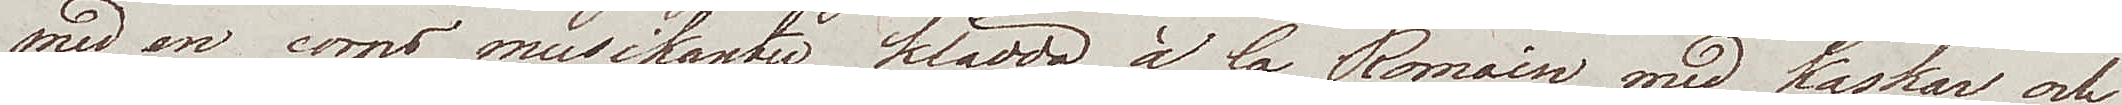med en corps musikanter klädda à la Romain med kaskar och
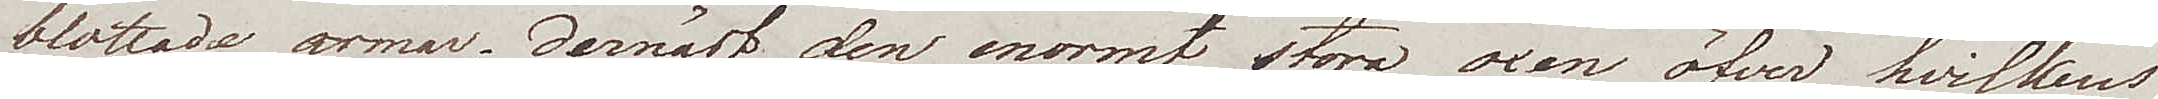blottade armar; dernäst den enormt stora oxen öfver hvilkens
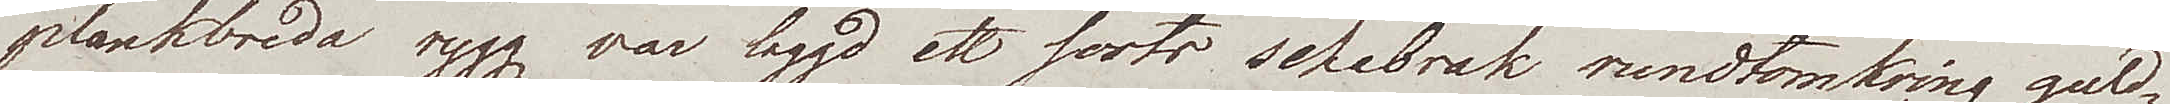plankbreda rygg var laggd ett sorts schabrak rundtomkring guld¬
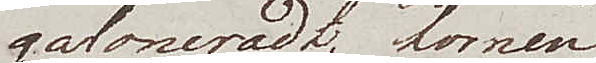galonerat; hornen  
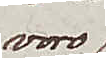voro
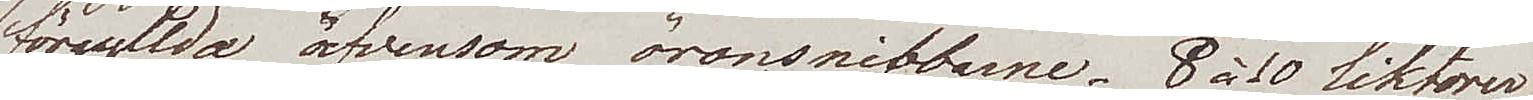förgyllda äfvensom öronsnibbarne. 8 à 10 liktorer
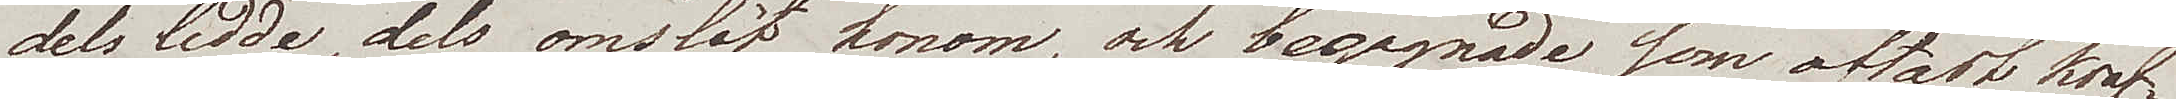dels ledde, dels omslöt honom, och begagnade som oftast kons¬
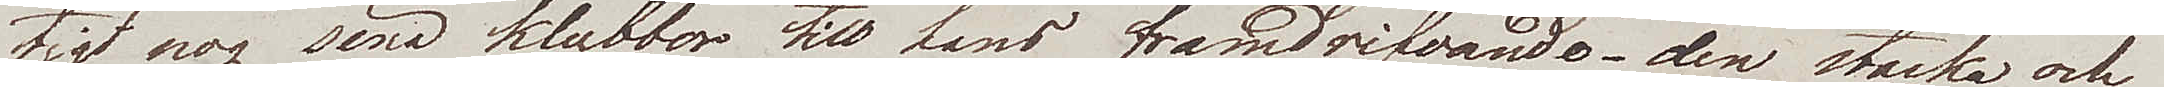tigt nog sina klubbor till hans framdrifvande – den starka och
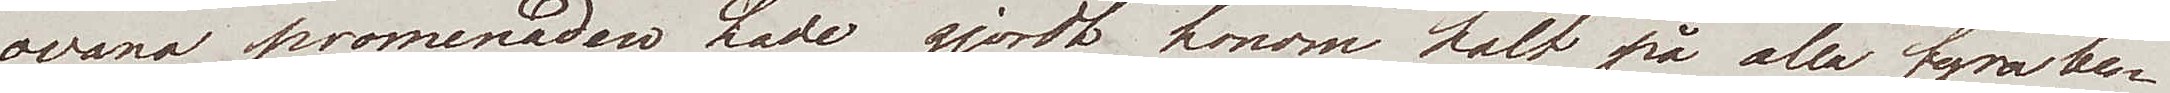ovana promenaden hade gjordt honom halt på alla fyra be¬
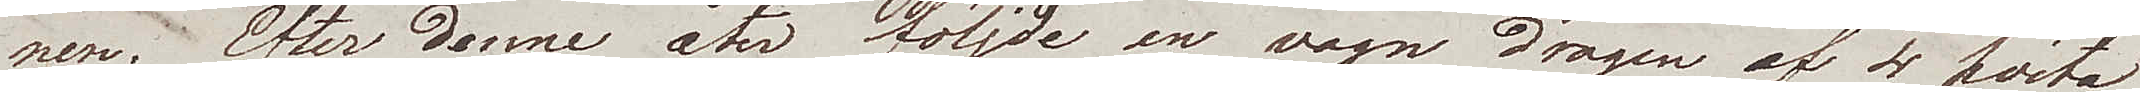nen. Efter denne åter följde en vagn dragen af 4 hvita
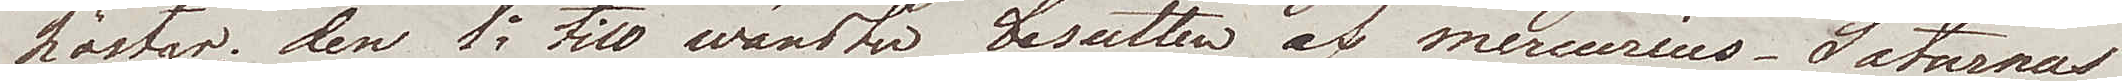hästar; den 1e till wänster besutten af Mercurius. Saturnus
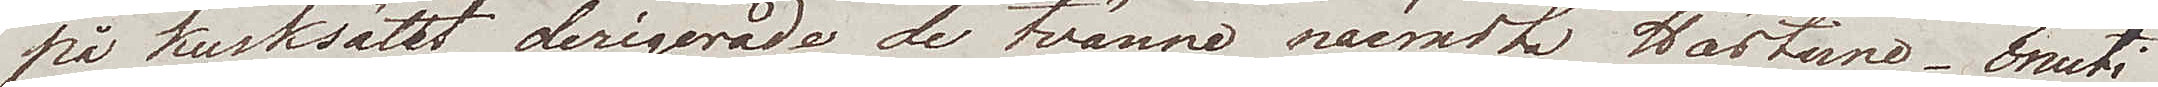på kusksätet derigerade de tvänne närmsta Hästarne – Inuti
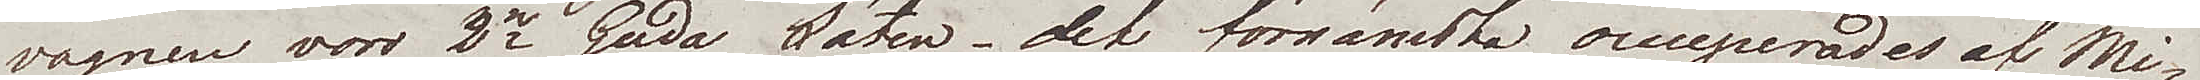vagnen voro 2ne guda säten, det förnämsta occuperades af Mi¬
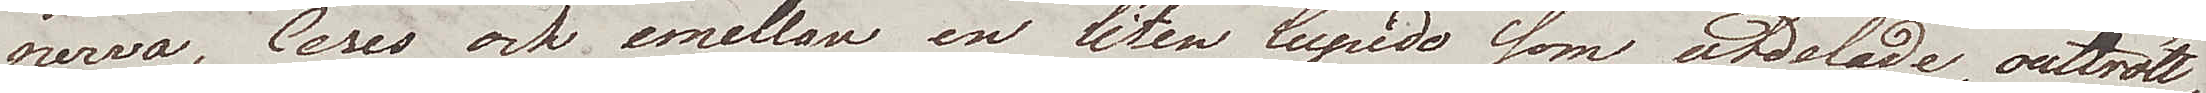nerva, Ceres och emellan en liten Cupido som utdelade, outtrött¬
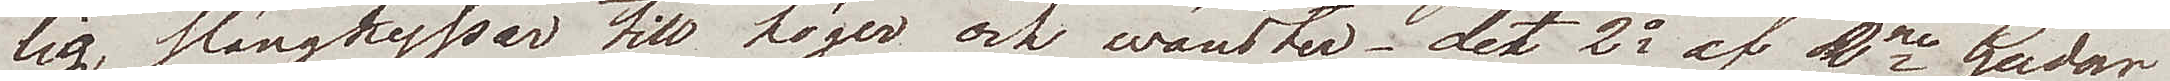lig, slängkyssar till höger och wänster – det 2a af 2ne Gudar
